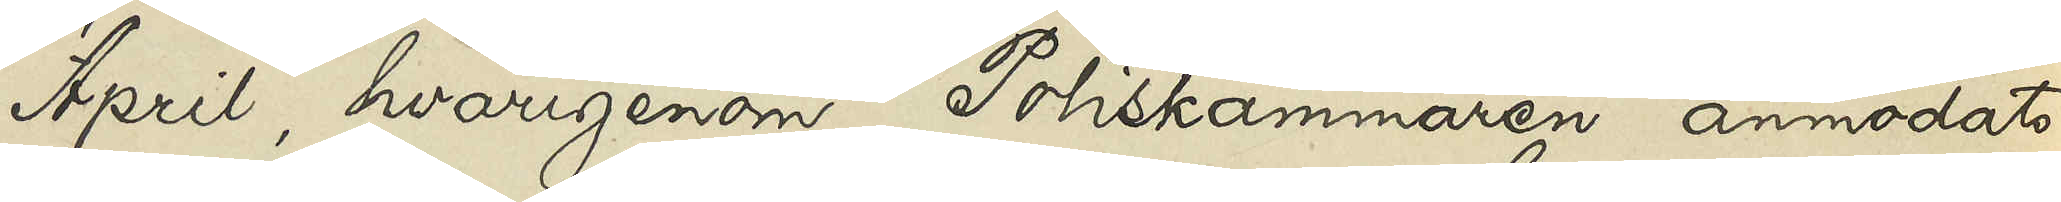April, hvarigenom Poliskammaren anmodats
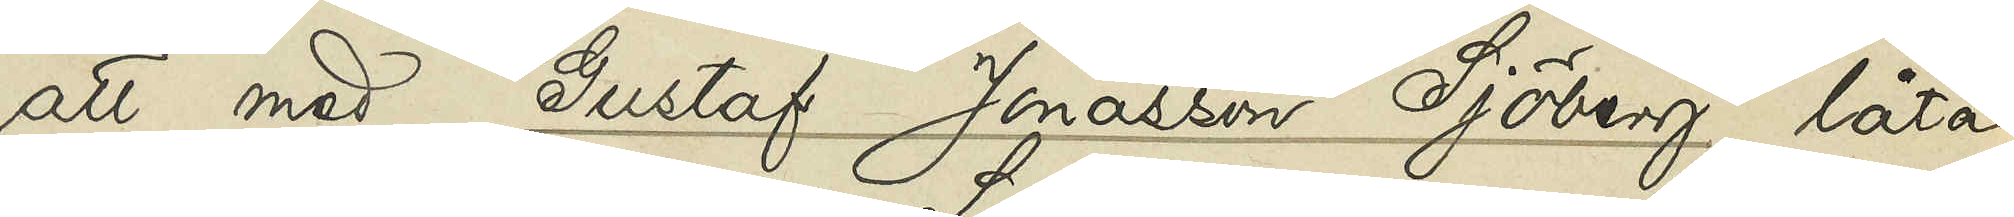att med Gustaf Jonasson Sjöberg låta
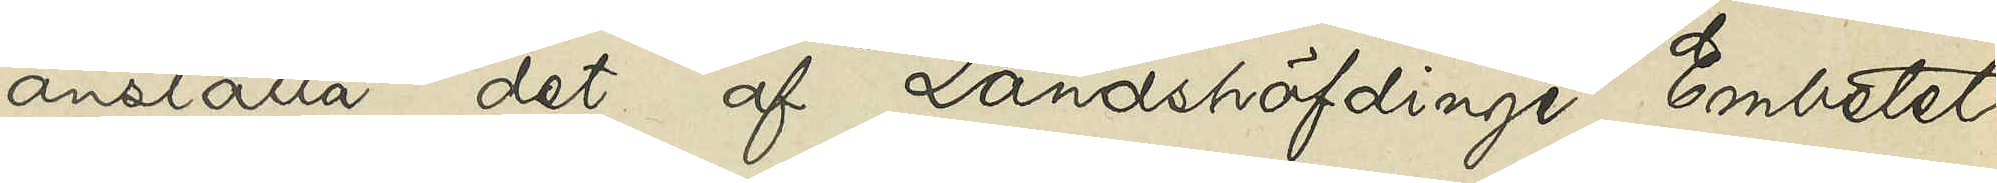anställa det af Landshöfdinge Embetet
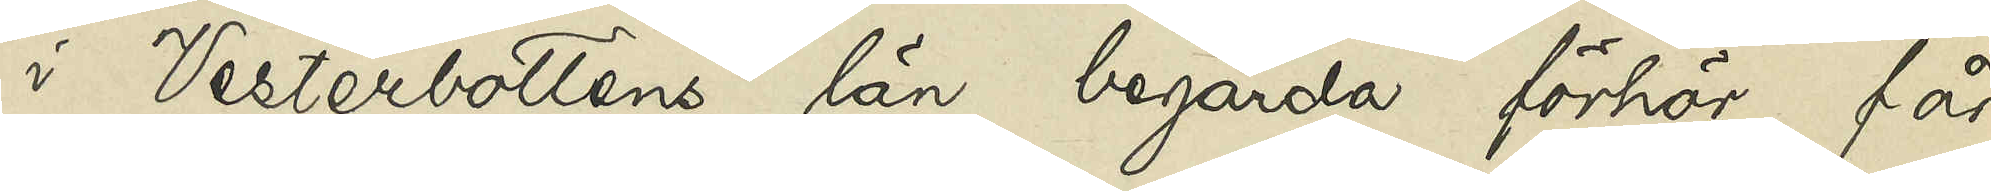i Vesterbottens län begärda förhör, får
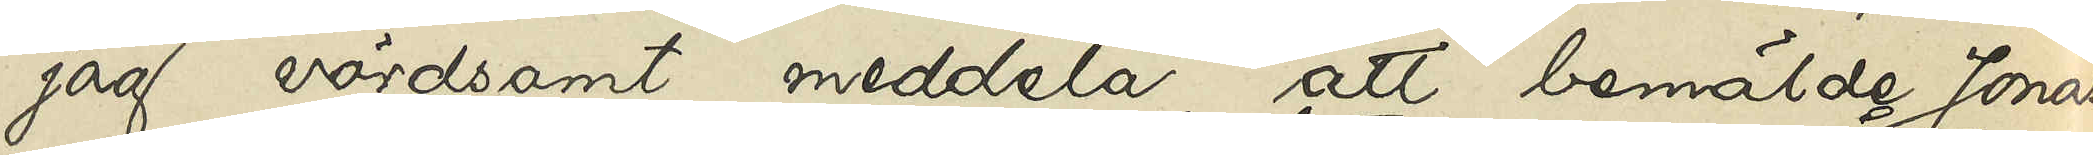jag vördsamt meddela, att bemälde Jonas¬
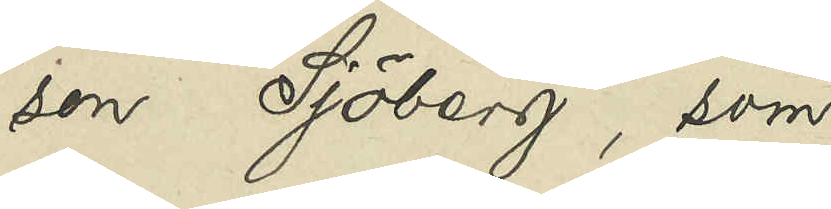son Sjöberg, som
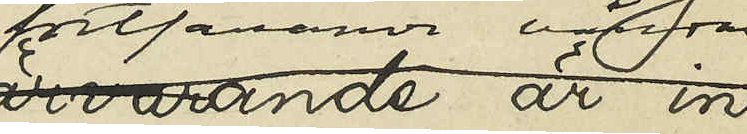fortfarande vårdas
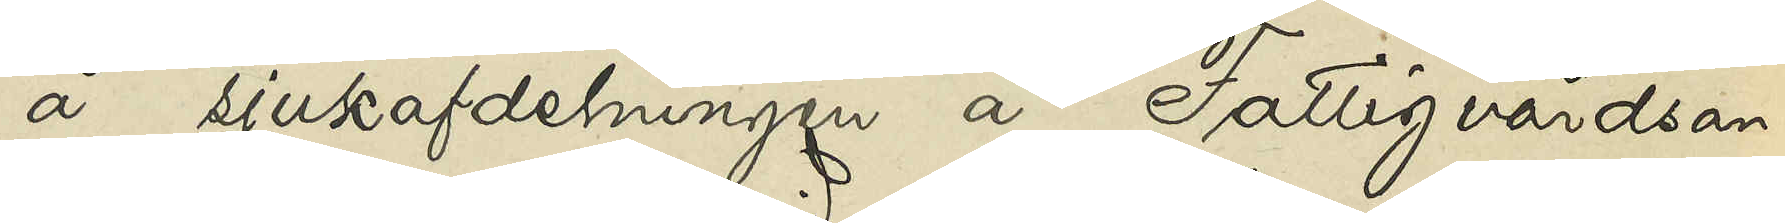å sjukafdelningen å Fattigvårdsan¬
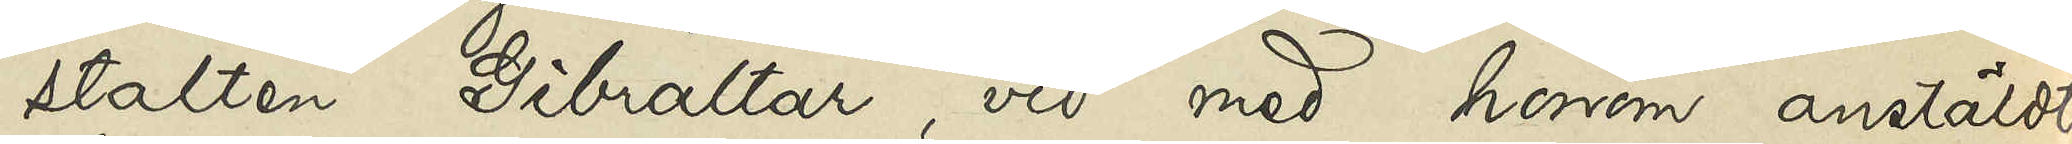stalten Gibraltar, vid med honom anstäldt
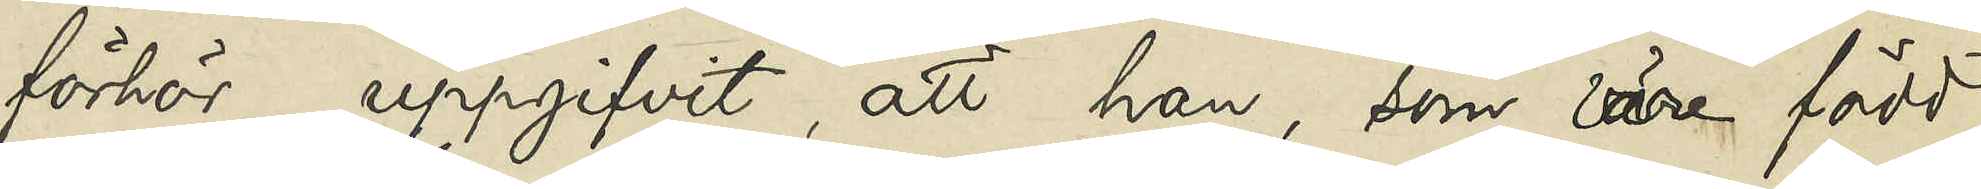förhör uppgifvit, att han, som vore född
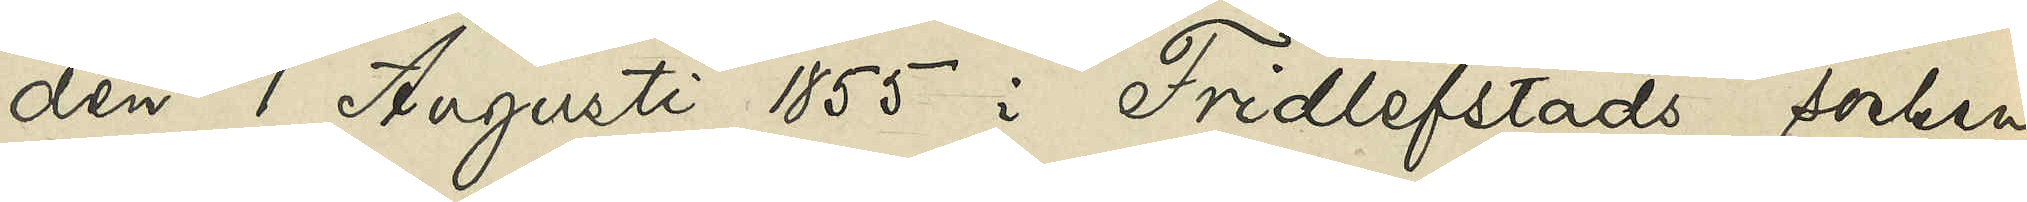den 1 Augusti 1855 i Fridlefstads socken
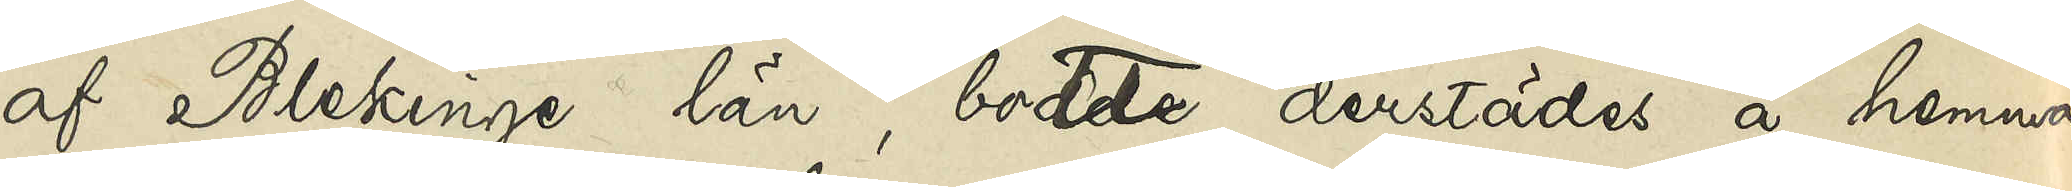af Blekinge län, bott derstädes å hemma¬
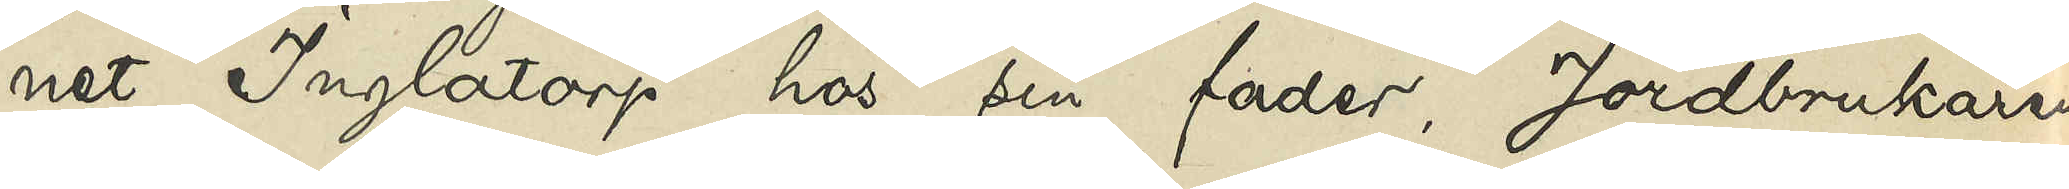net Inglatorp hos sin fader, Jordbrukaren
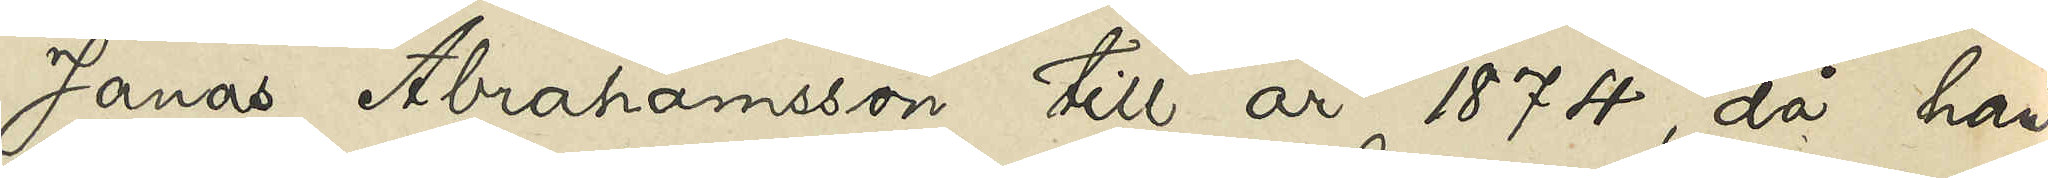Jonas Abrahamsson till år 1874, då han
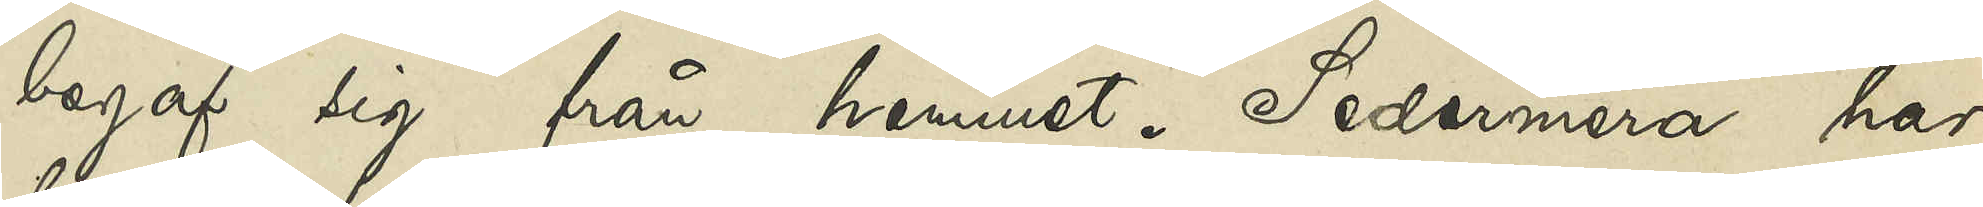begaf sig från hemmet. Sedermera har
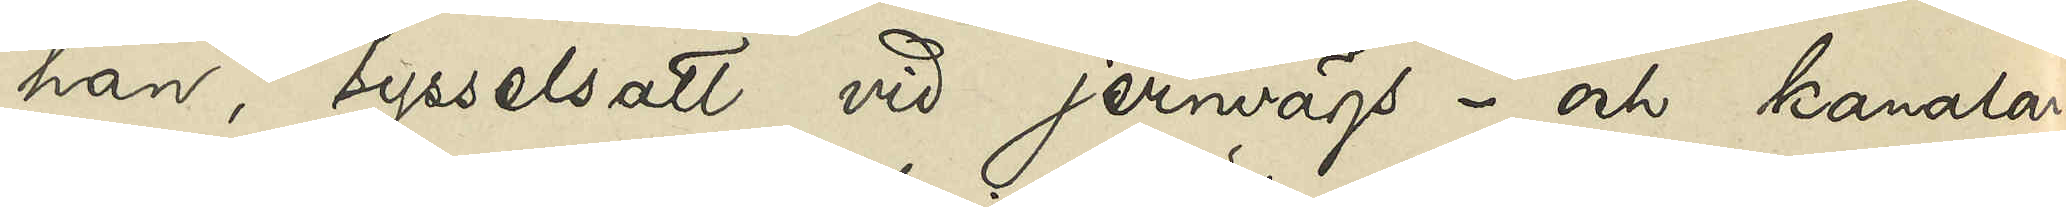han, sysselsatt vid jernvägs- och kanalar¬
